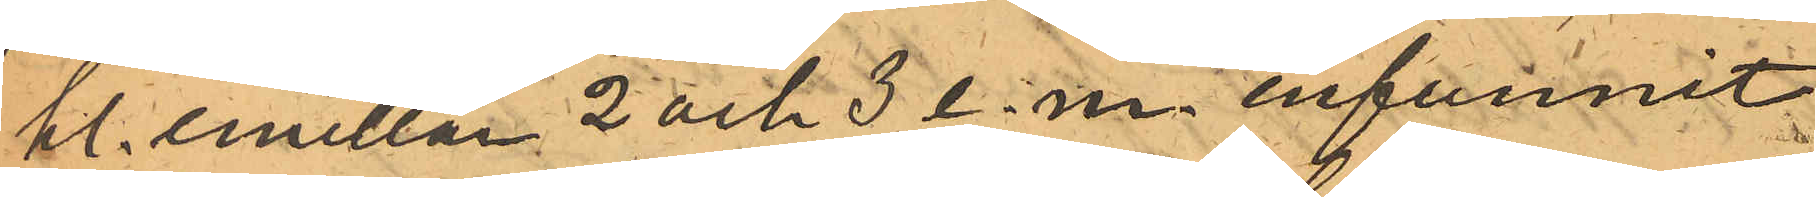kl. emellan 2 och 5 e.m. infunnit
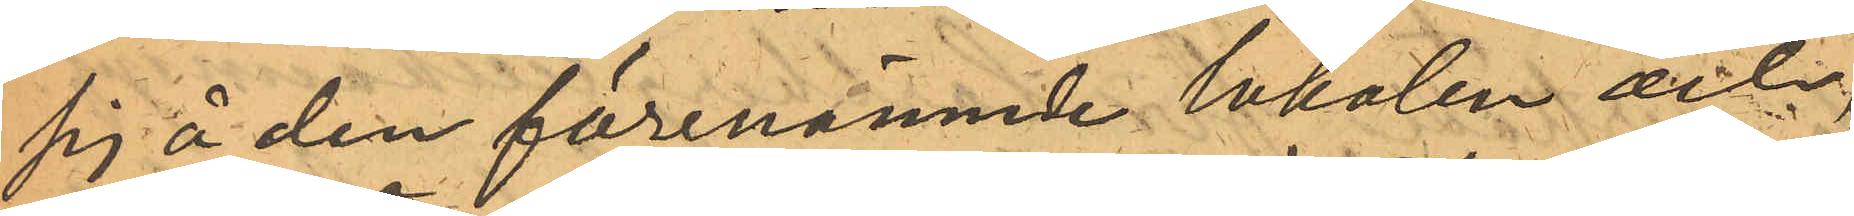sig å den förenämnde lokalen och,
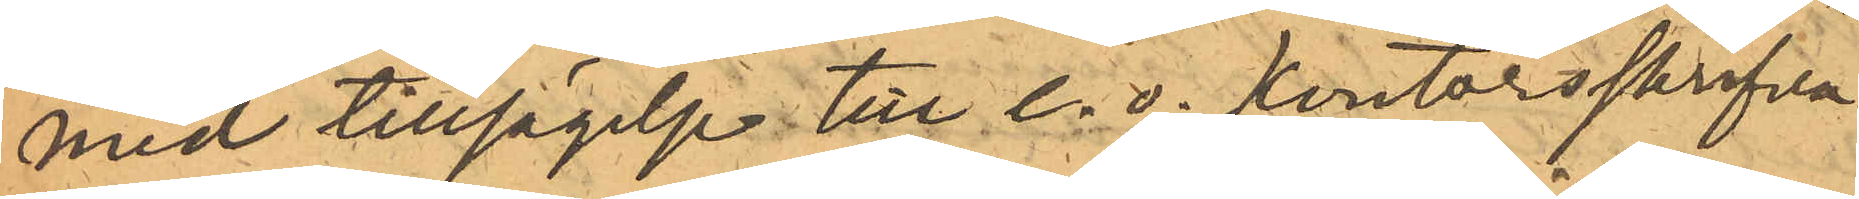med tillsägelse till e.o. kontorsskrifva¬
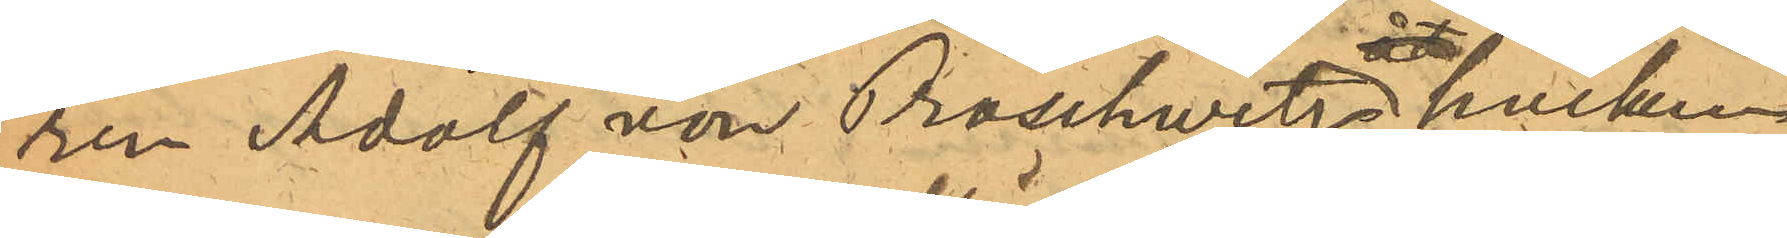ren Adolf von Proschwitz, hvilken
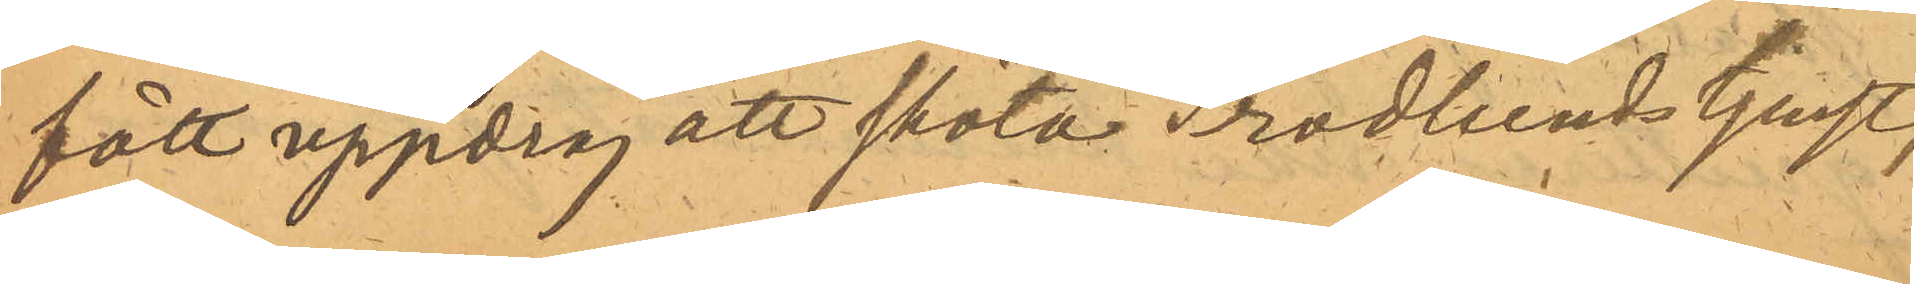fått uppdrag att sköta Frodlunds tjenst,
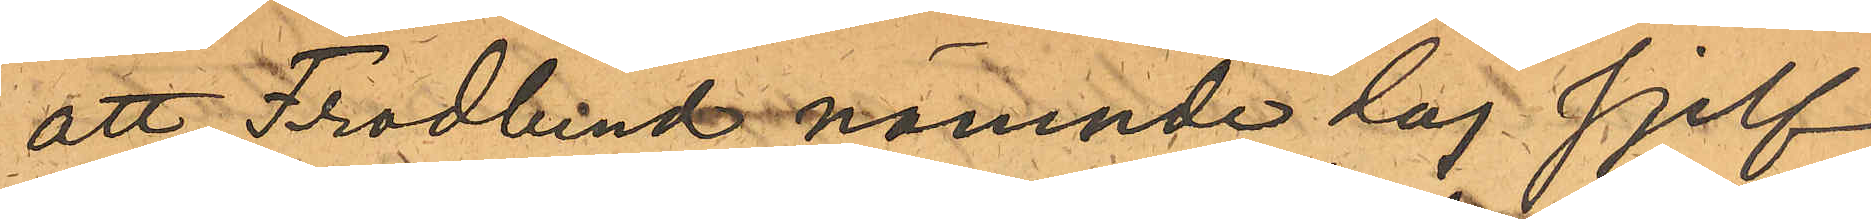att Frodlund nämnde dag sjelf
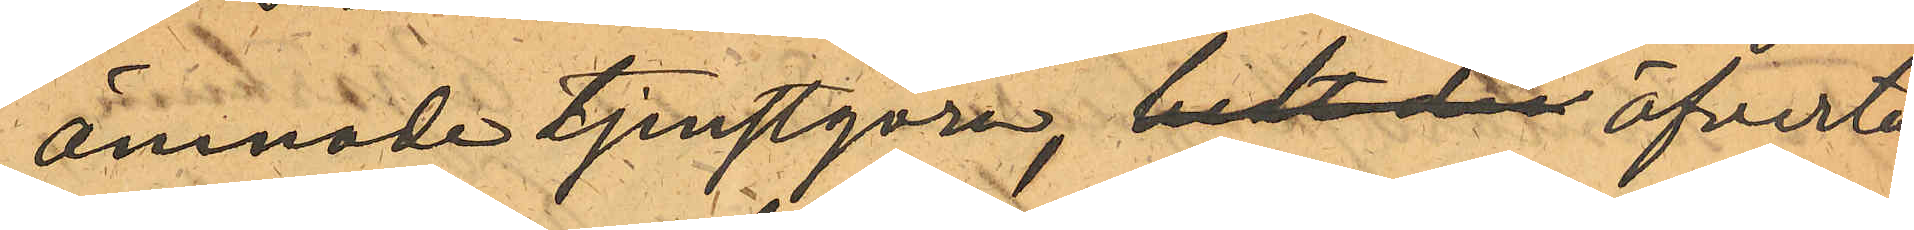ämnade tjenstgöra, bedt den öfverta¬
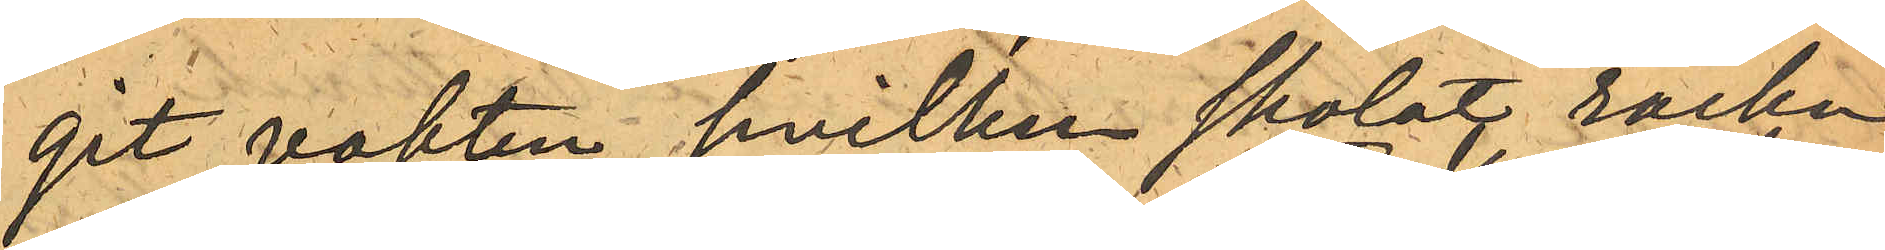git vakten, hvilken skolat räcka
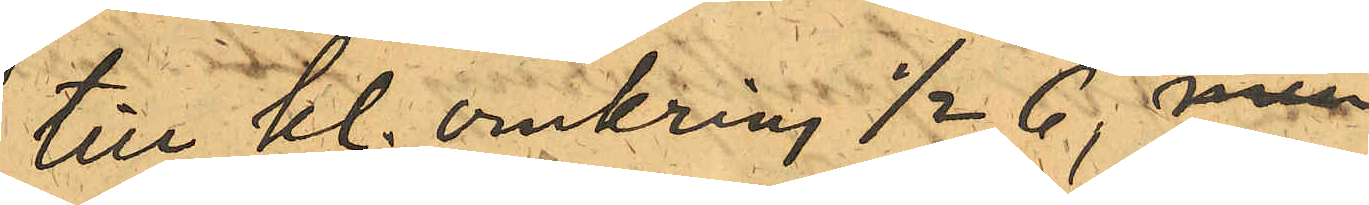till kl. omkring 1/2 6, men
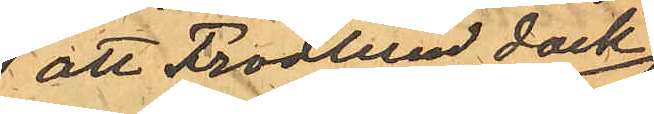 att Frodlund dock
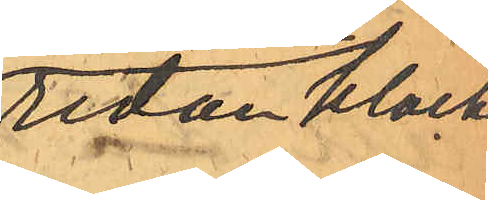redan klockan
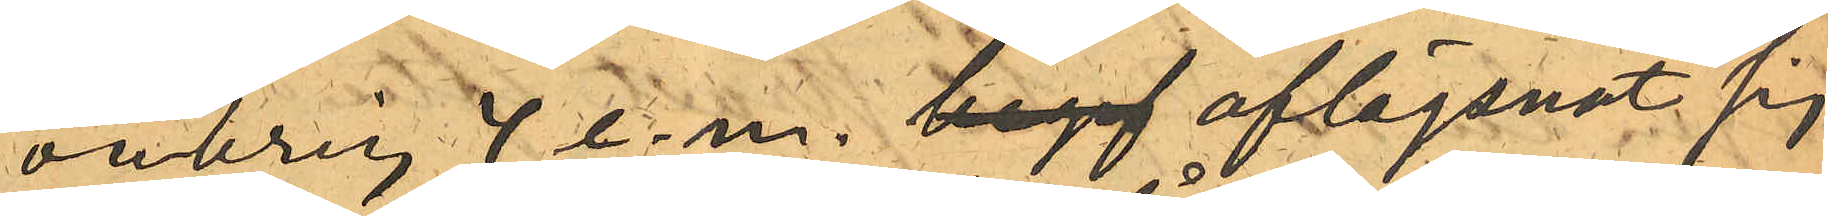omkring 4 e.m. begif aflägsnat sig
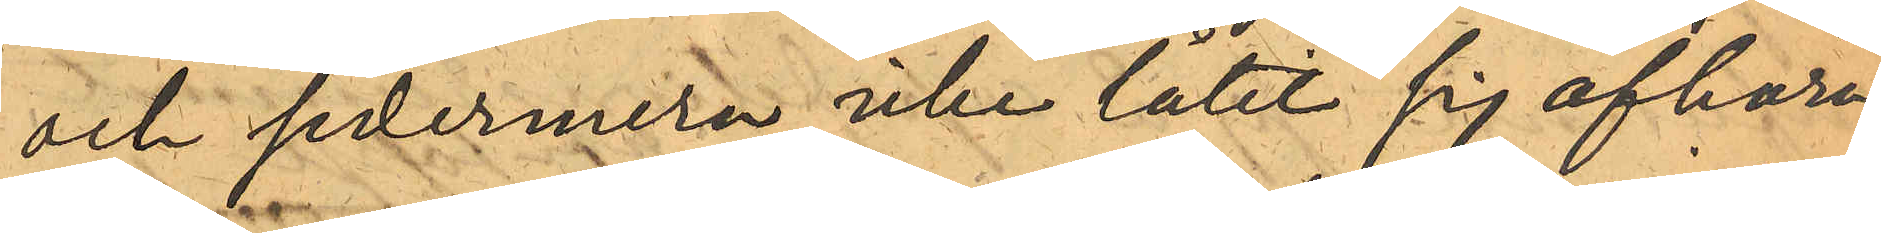och sedermera icke låtit sig afhöra.
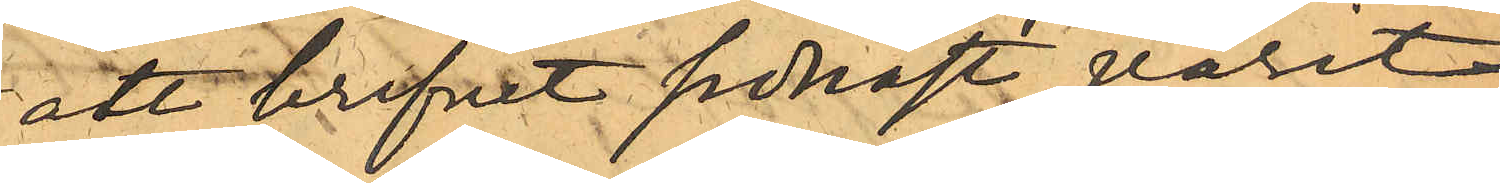att brefvet sednast varit
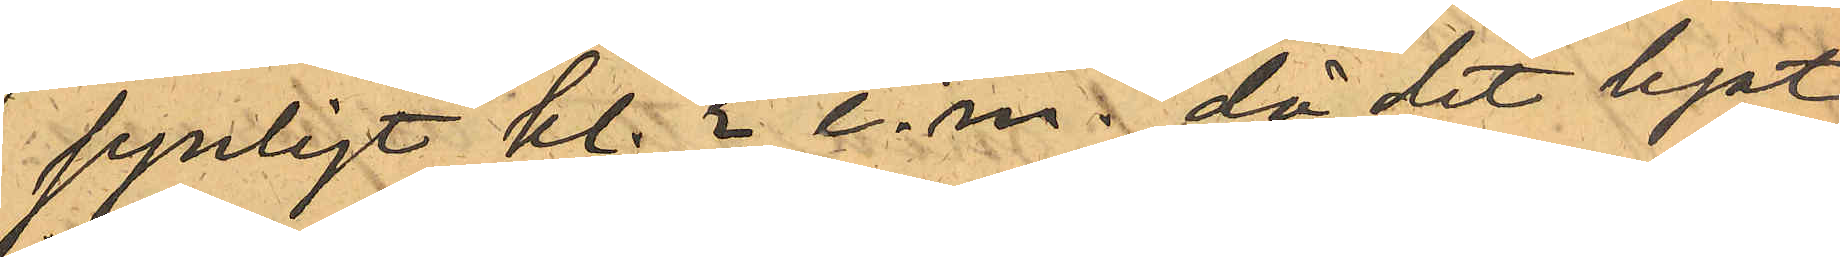synligt kl. 2 e.m., då det legat
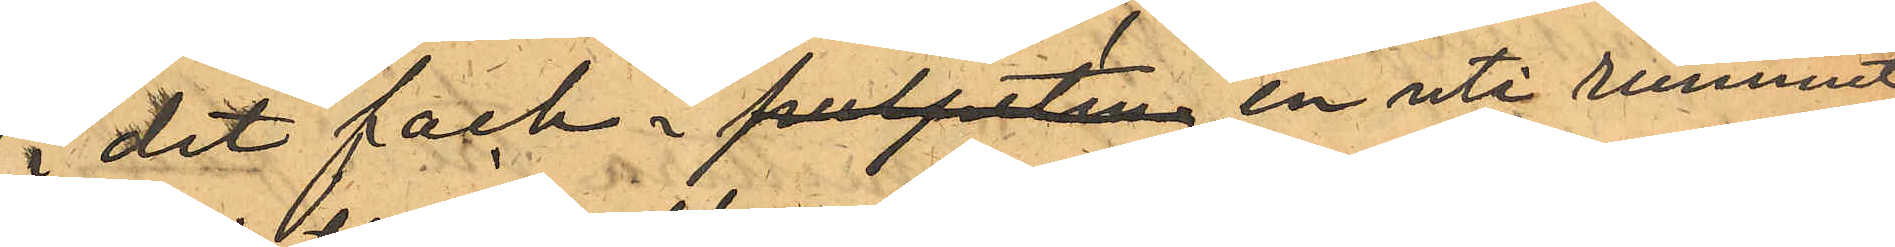i det fack i pulpeten en uti rummet
